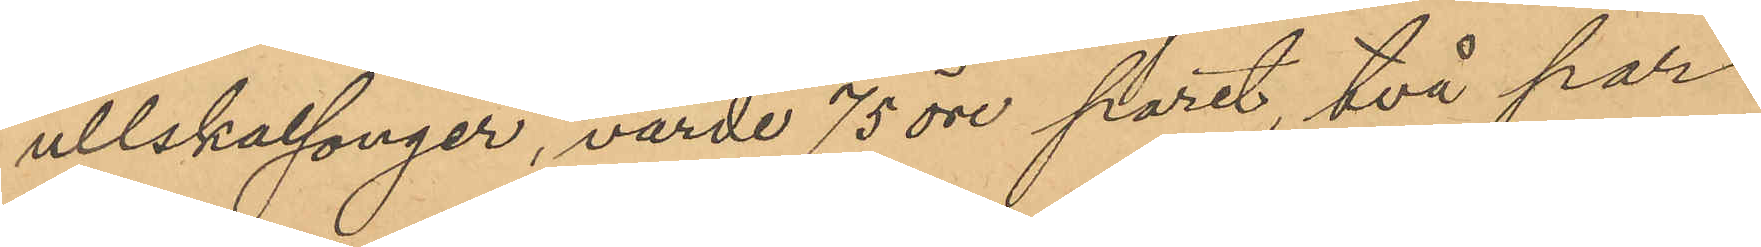ullskalsonger, värde 75 öre paret, två par
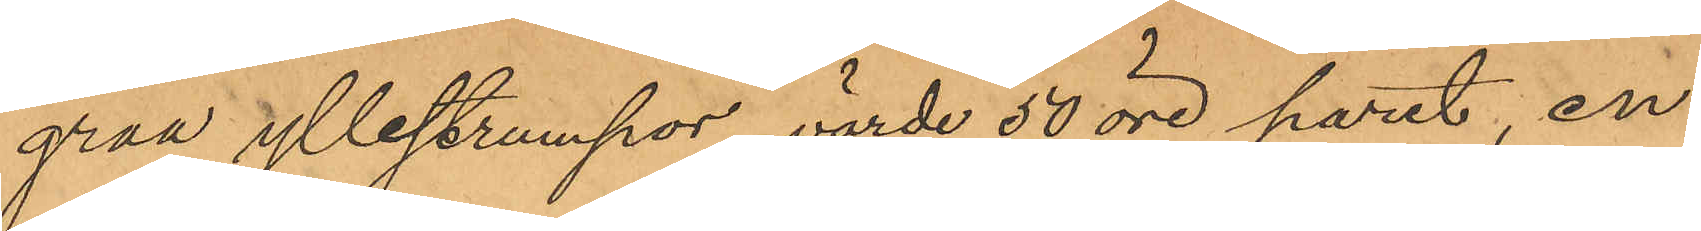gråa yllestrumpor, värde 50 öre paret, en
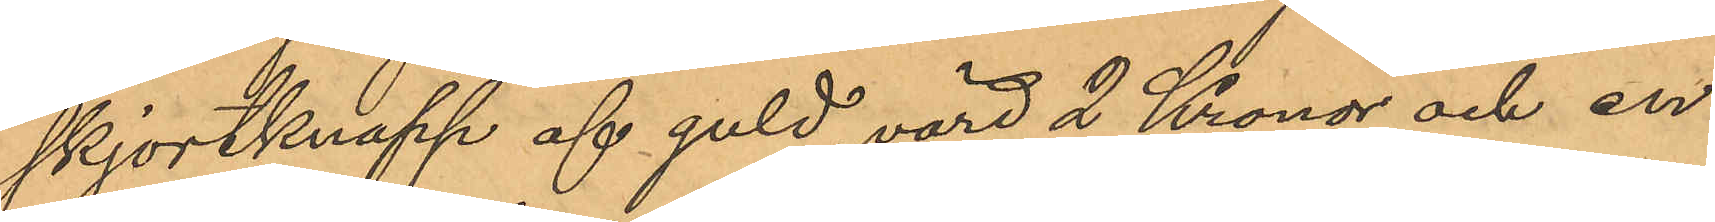skjortknapp af guld, värd 2 Kronor och en
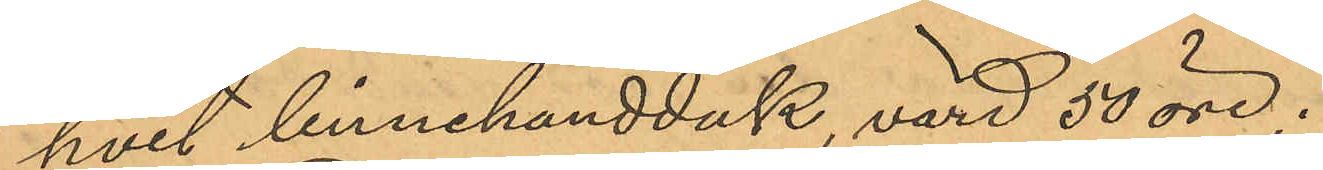hvit linnehandduk, värd 50 öre.
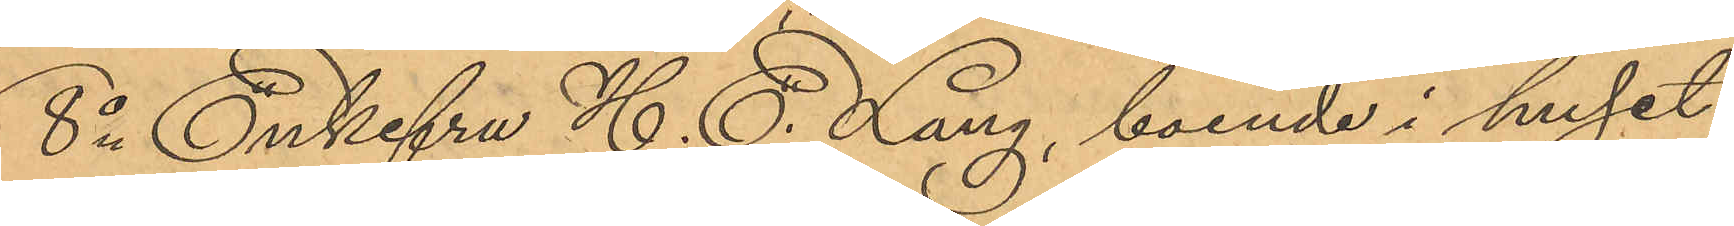8o Enkefru H. E. Lang, boende i huset
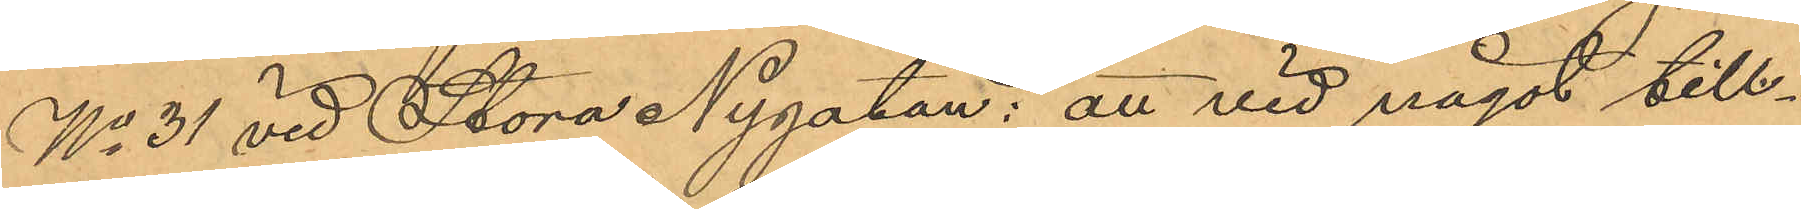No 31 vid Stora Nygatan: att vid något till¬
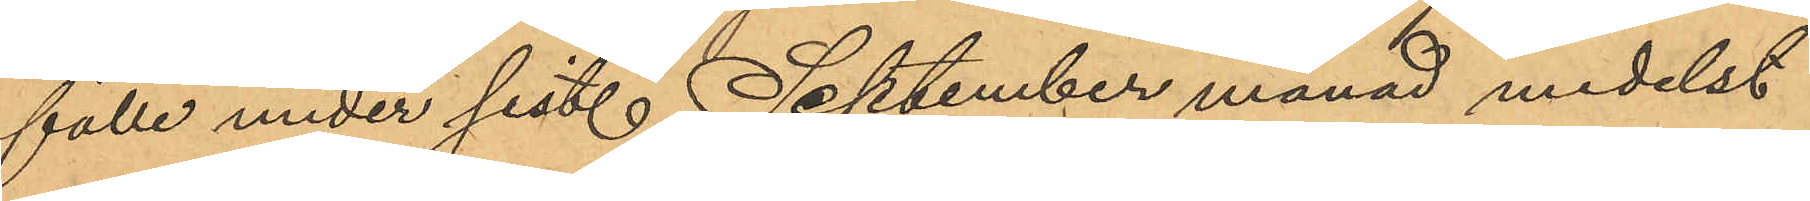fälle under sist. September månad medelst
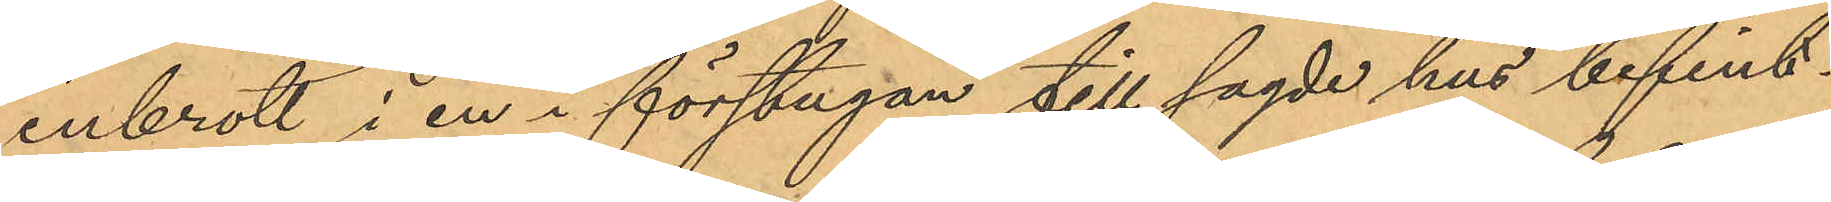inbrott i en i förstugan till sagde hus befint¬
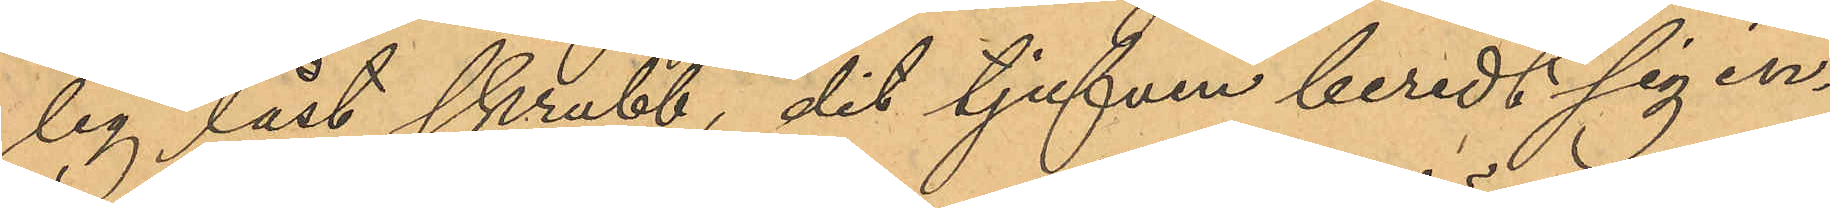lig låst skrubb, dit tjufven beredt sig in¬
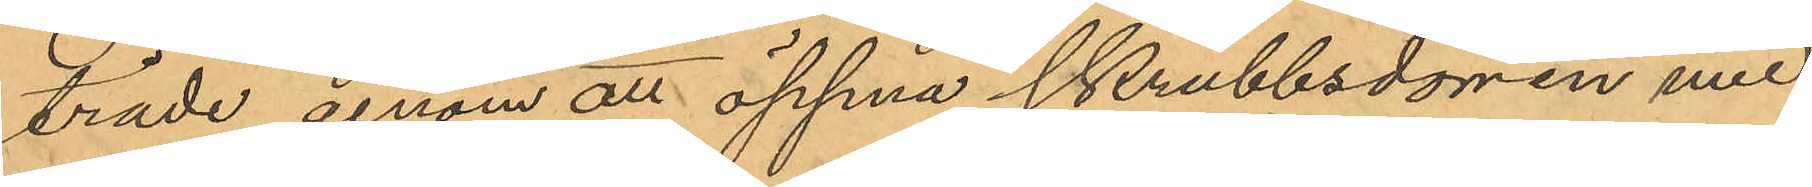träde genom att öppna skrubbsdörren med
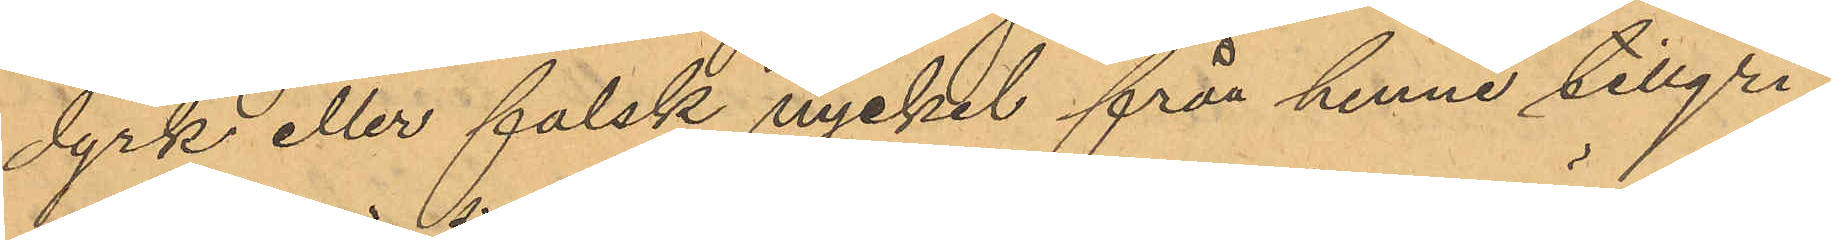dyrk eller falsk nyckel från henne tillgri¬
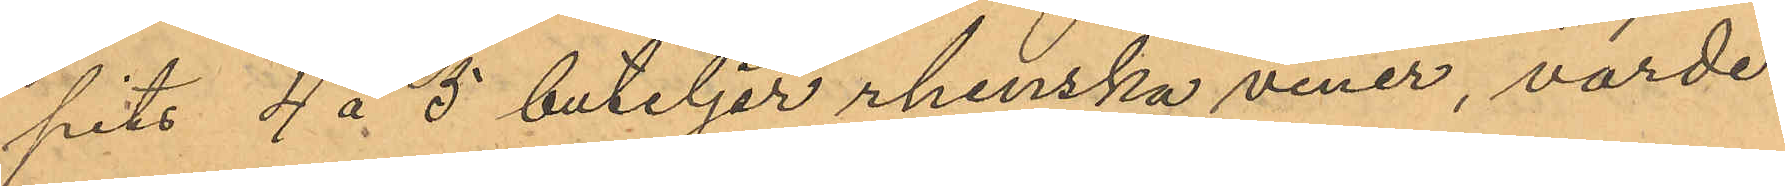pits 4 á 5 buteljer rhenska viner, värde
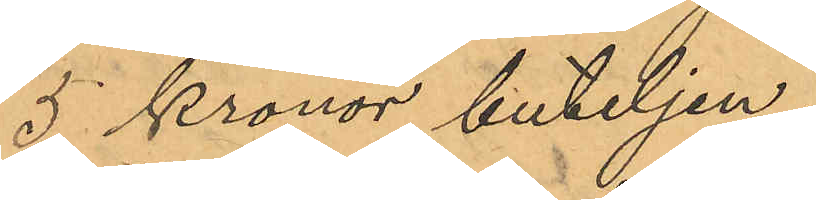5 Kronor buteljen;
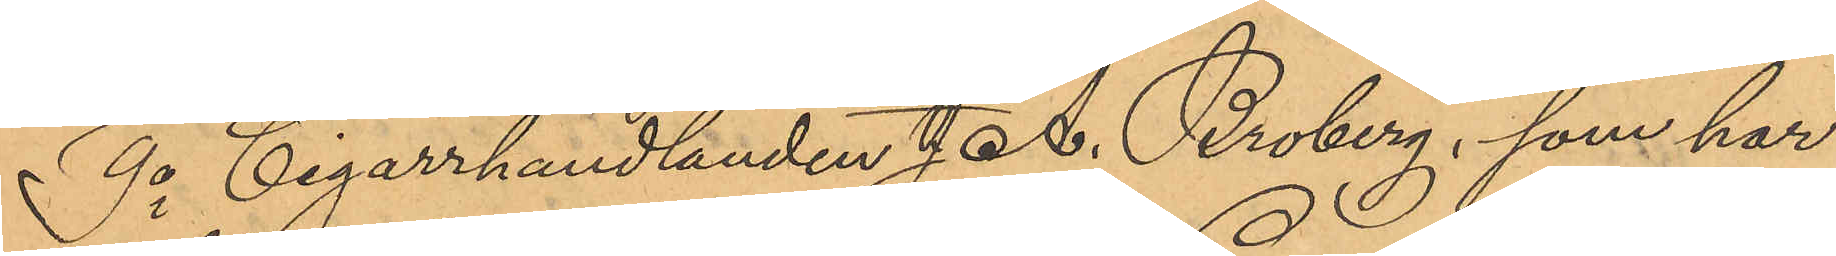9o Cigarrhandlanden J. A. Broberg, som har
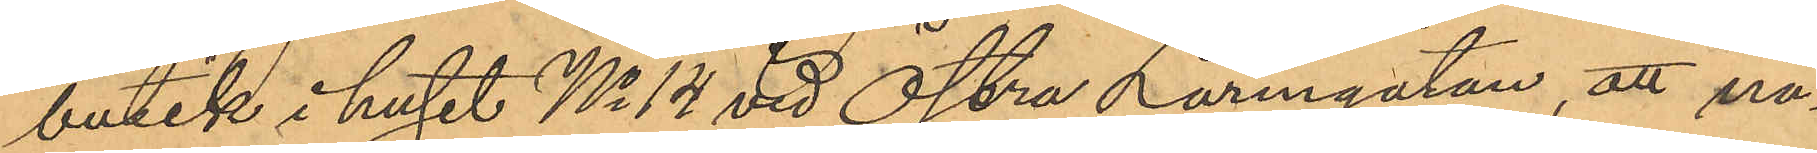butik i huset No 14 vid Östra Larmgatan, att nå¬
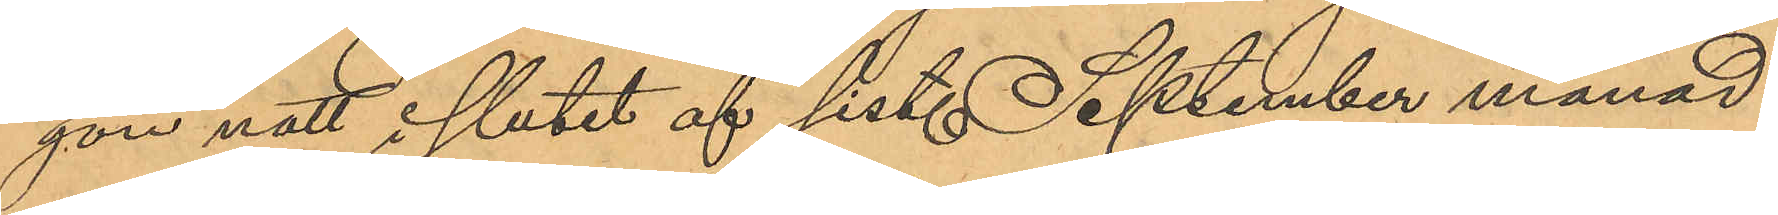gon natt i slutet af sist. September månad
